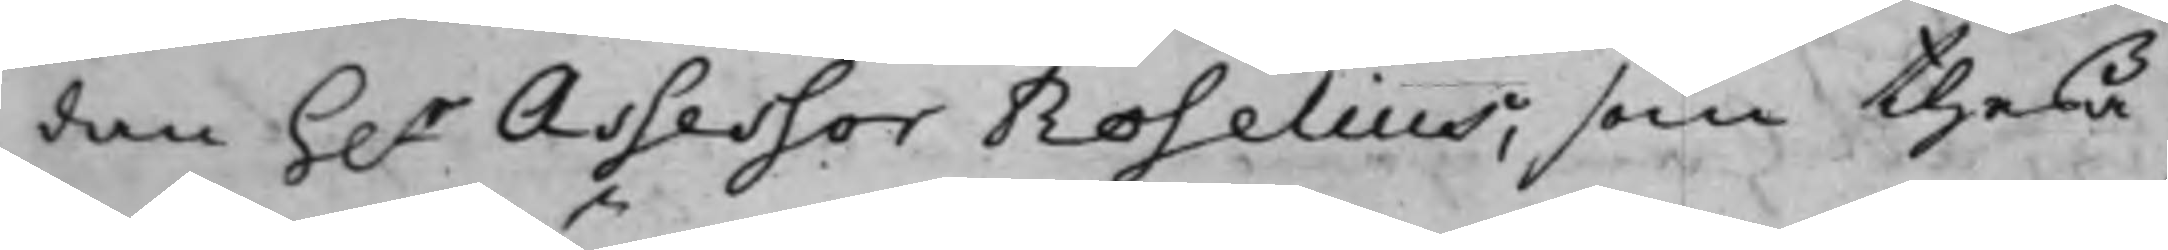dan h.r Assessor Roselius, som theßa
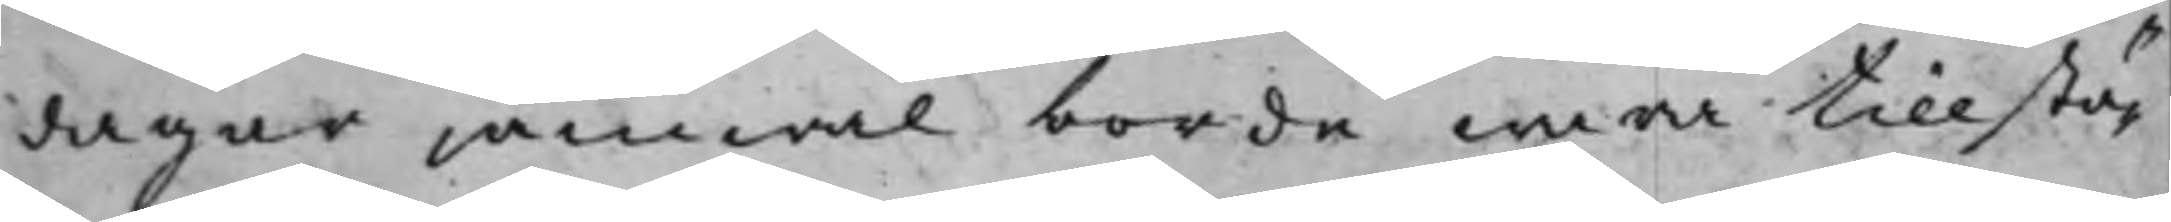dagar jämwäl borde wara tillstä¬
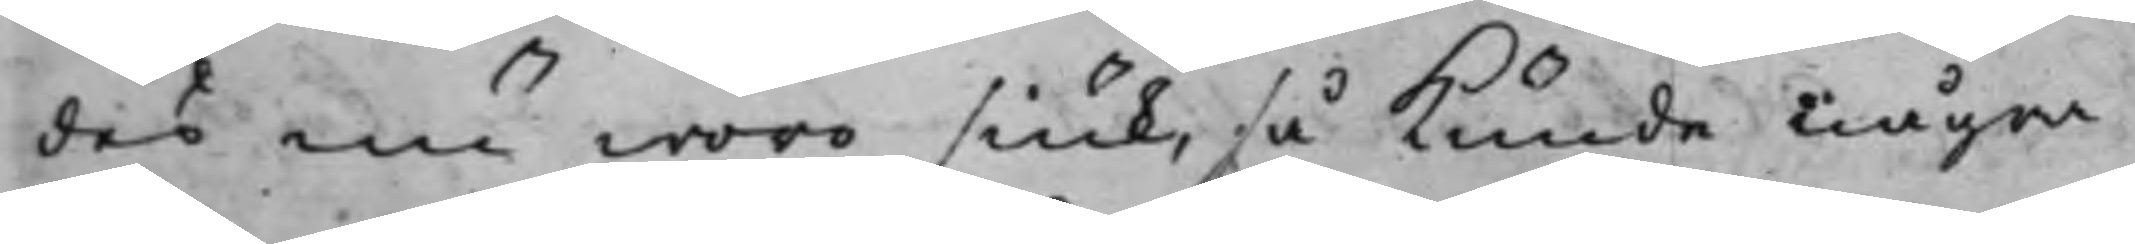des nu woro siuk, så kunde några
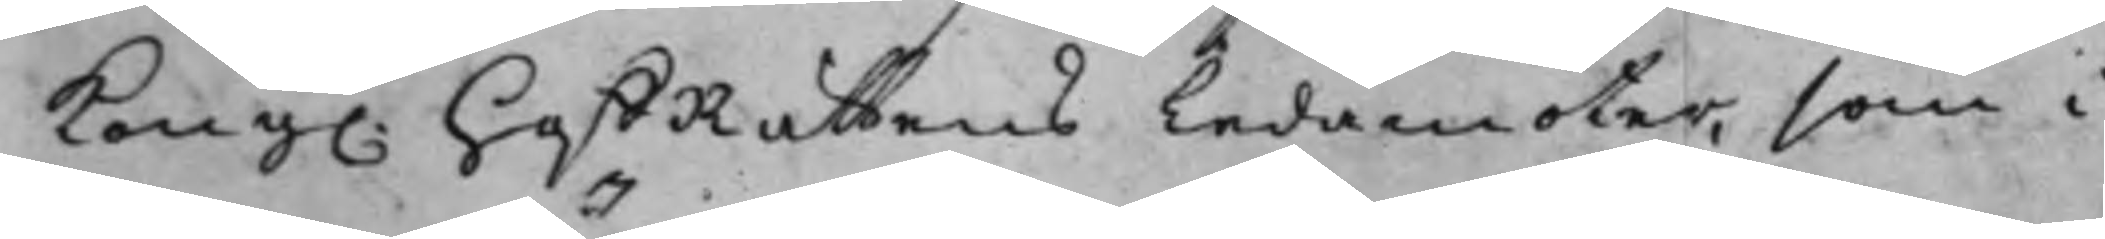Kong. hoffRättens Ledamöter, som i
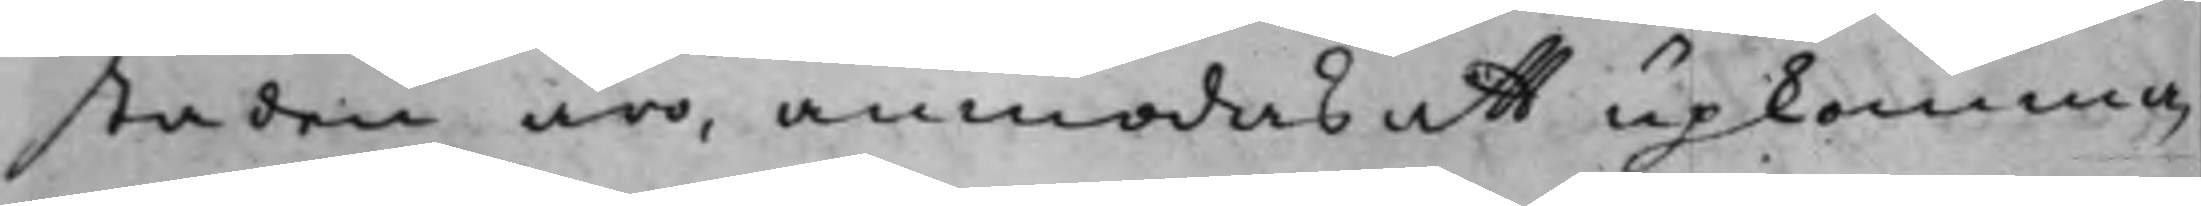staden äro; anmodas att upkomma
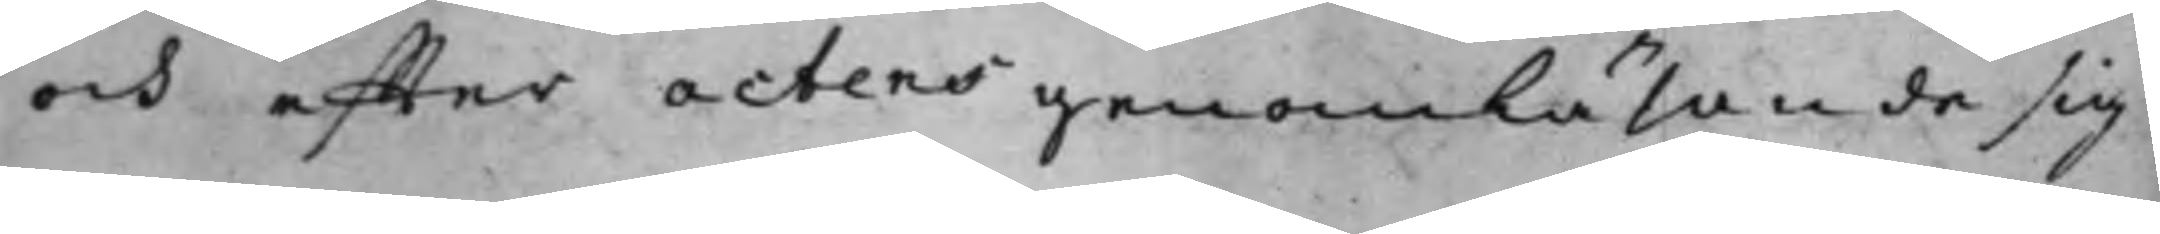och effter actens genomläsande sig
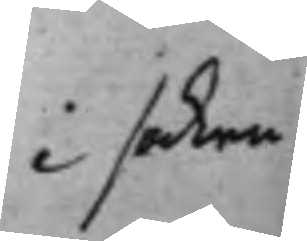i saken
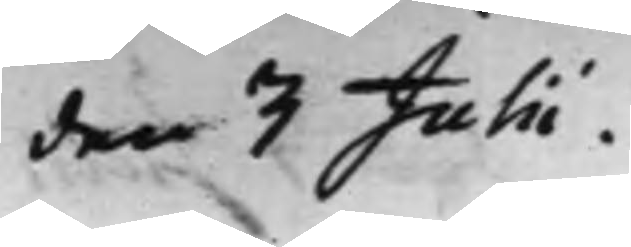den 3 Julii.
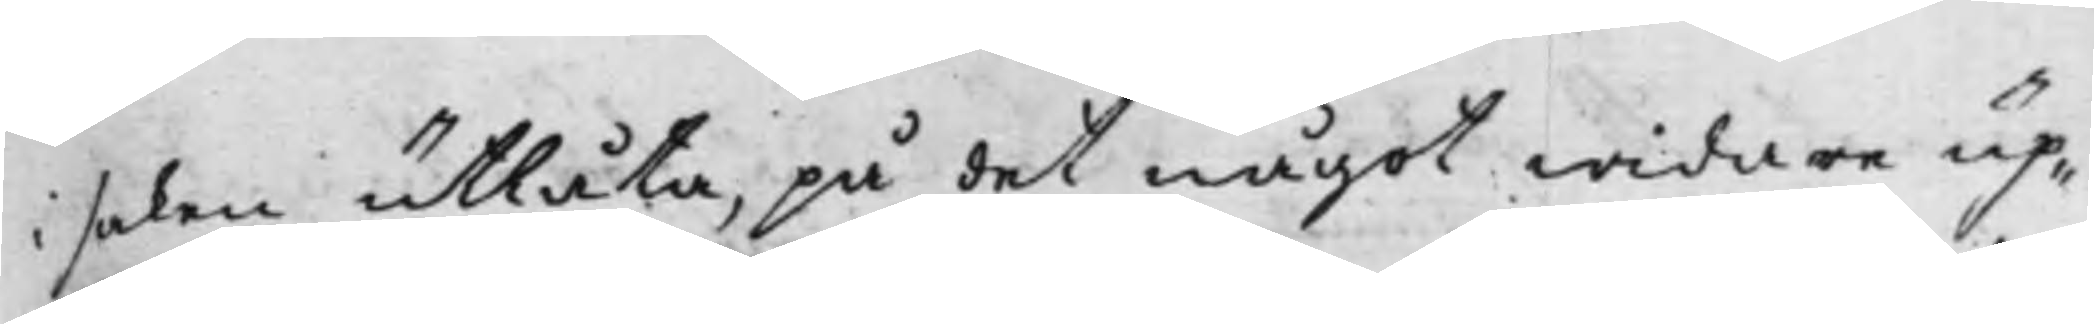i saken utlåta, på det något widare up¬
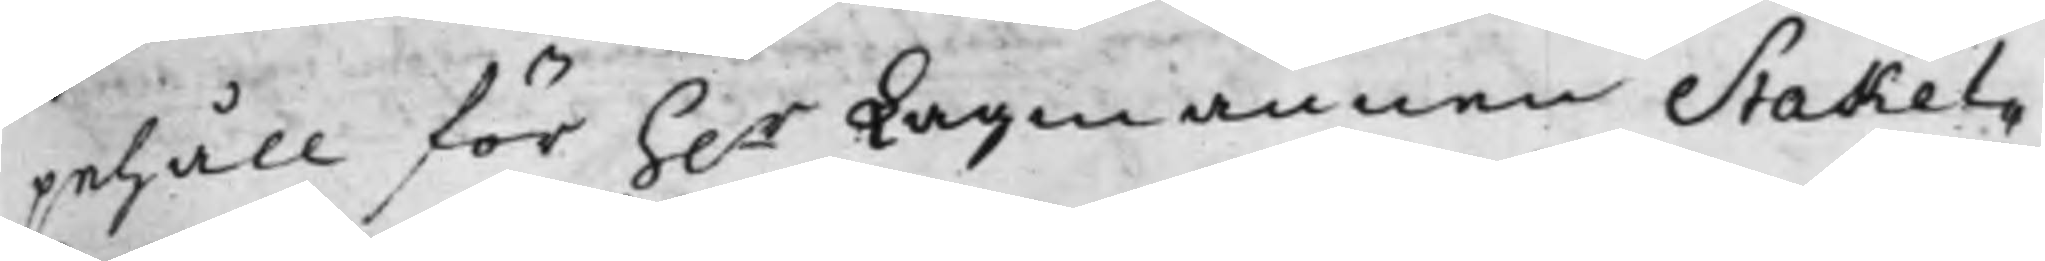pehåll för h.r Lagmannen Stakel¬
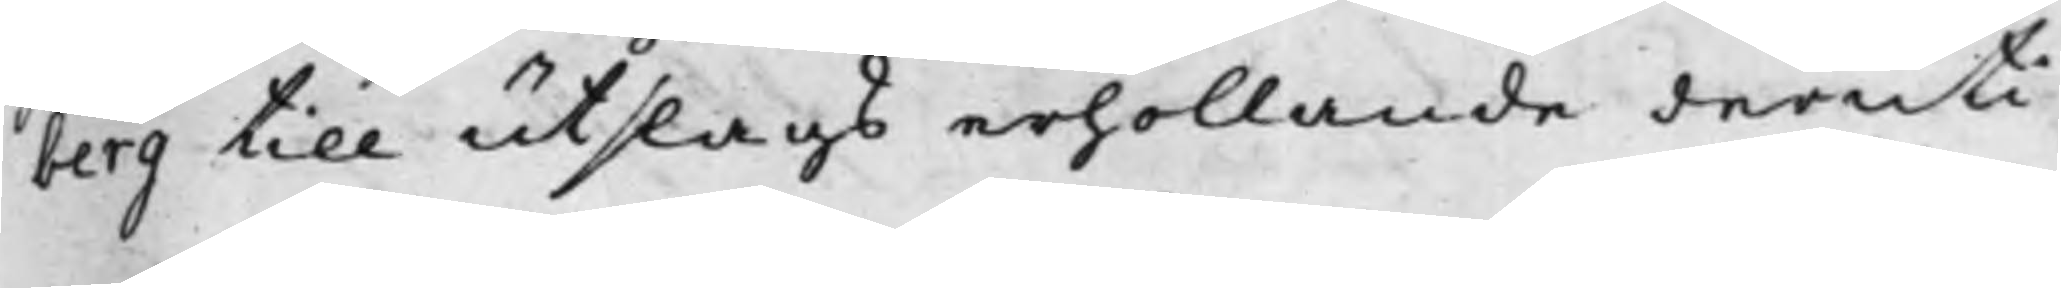berg till utslags erhollande deruti
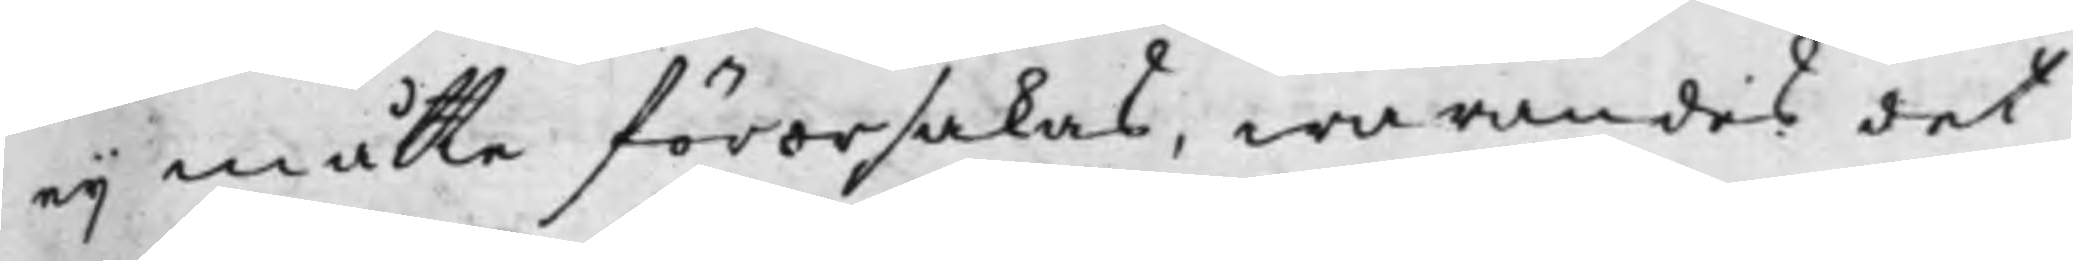eij måtte förorsakas. warandes det
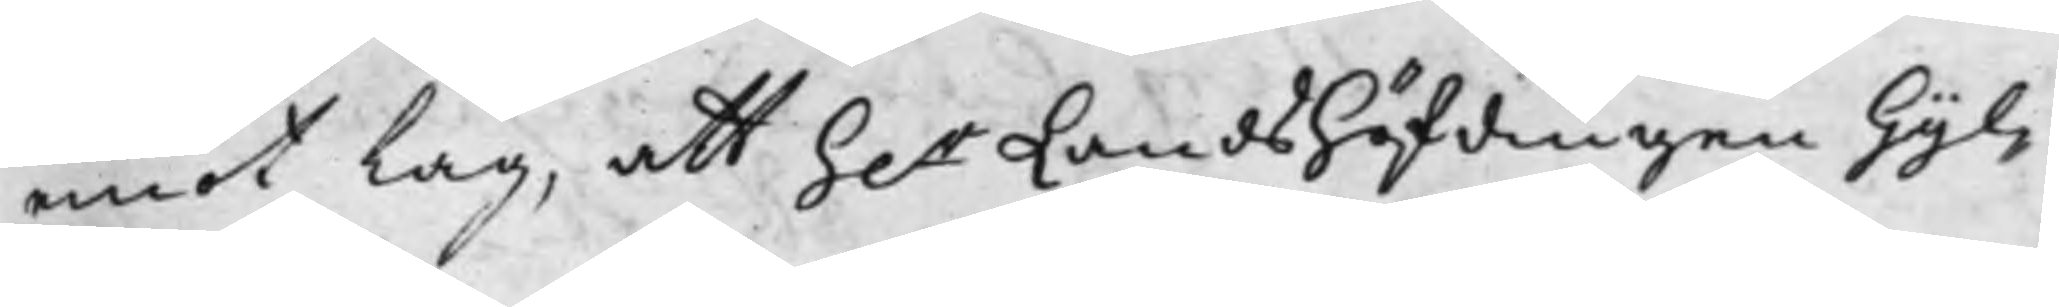emot Lag, att h.r Landshöfdingen Gyl¬
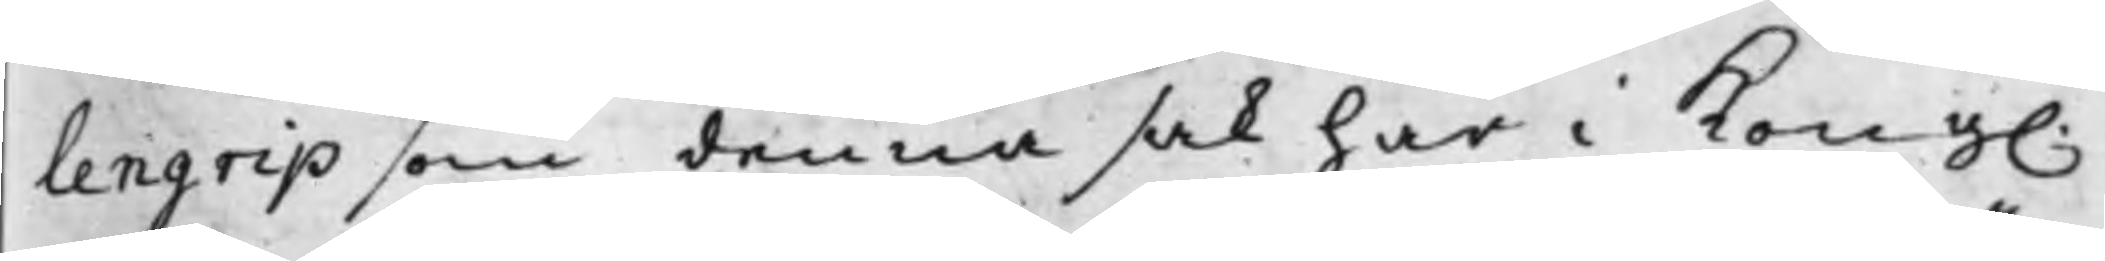lengrip som denna sak här i Kong.
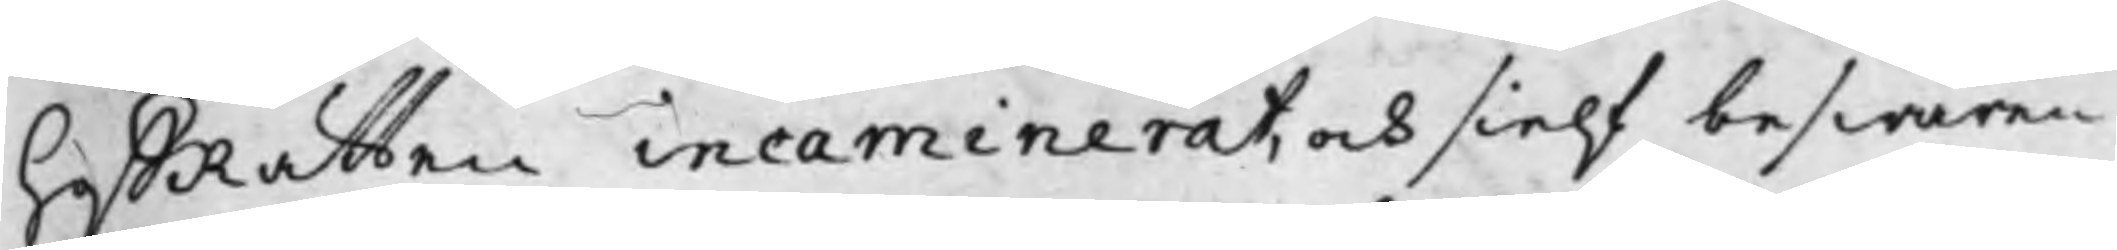hoffRättten incaminerat, och sielf beswären
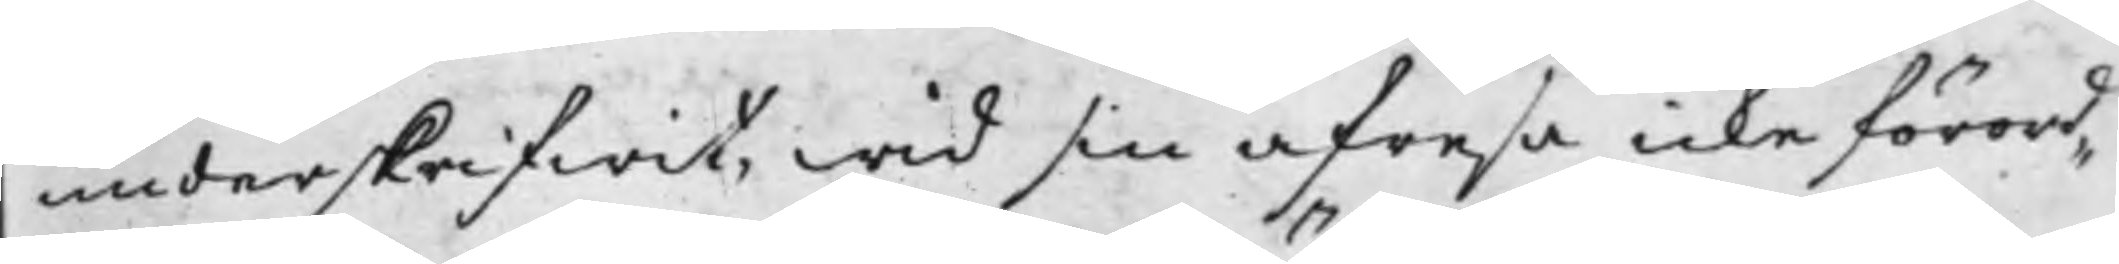underskrifwit, wid sin afresa icke förord¬
